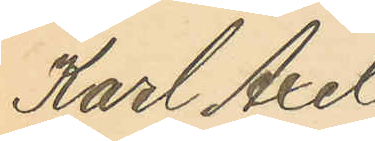Karl Axel
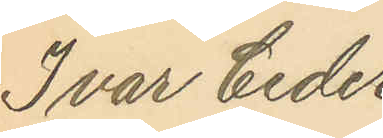Ivar Ceder¬
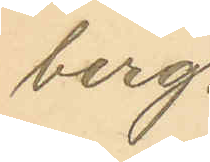berg.
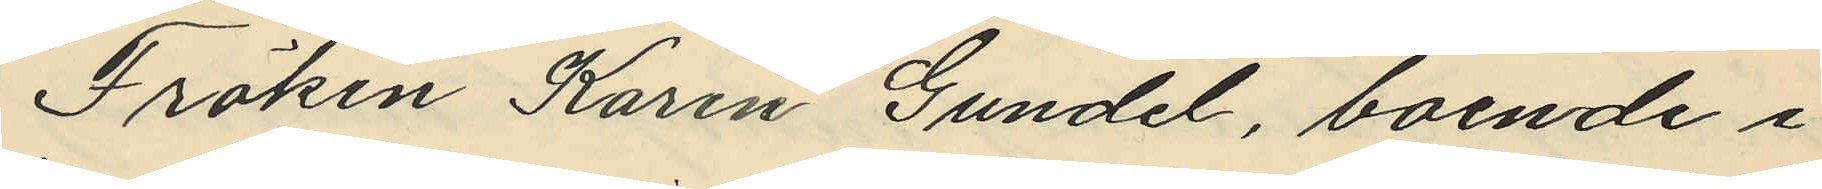Fröken Karen Gundel, boende i 
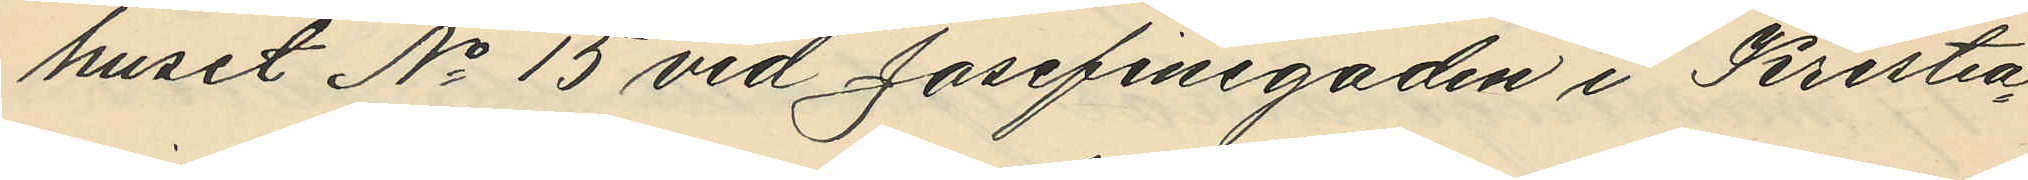huset No 15 vid Josefinegaden i Kristia¬
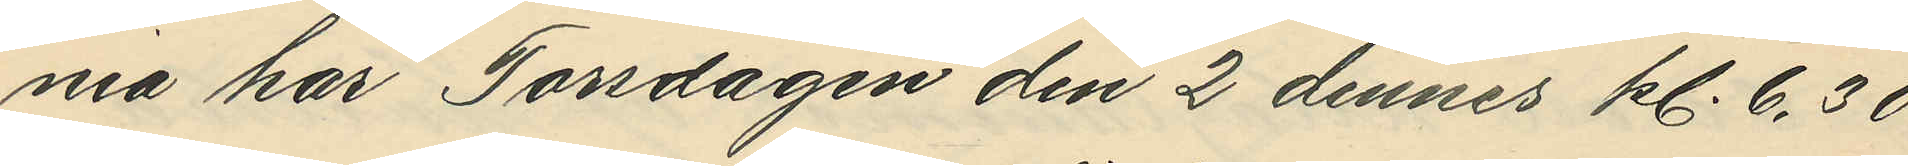nia har Torsdagen den 2 dennes kl. 6.30
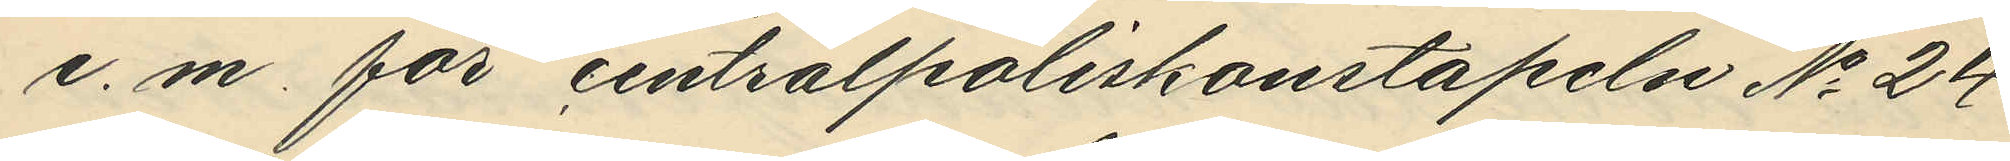e. m. för centralpoliskonstapeln No 24
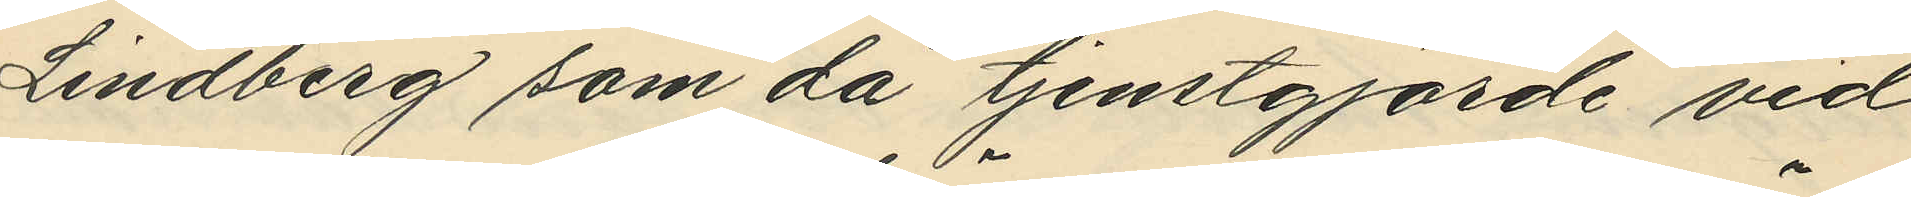Lindberg som då tjenstgjorde vid
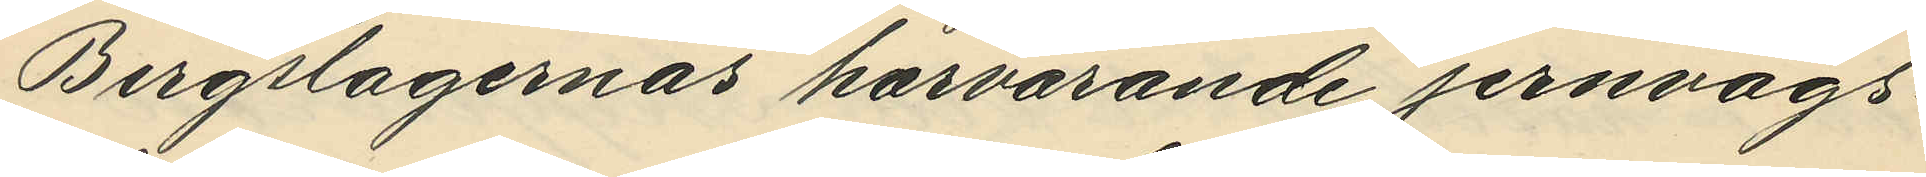Bergslagernas härvarande jernvägs¬
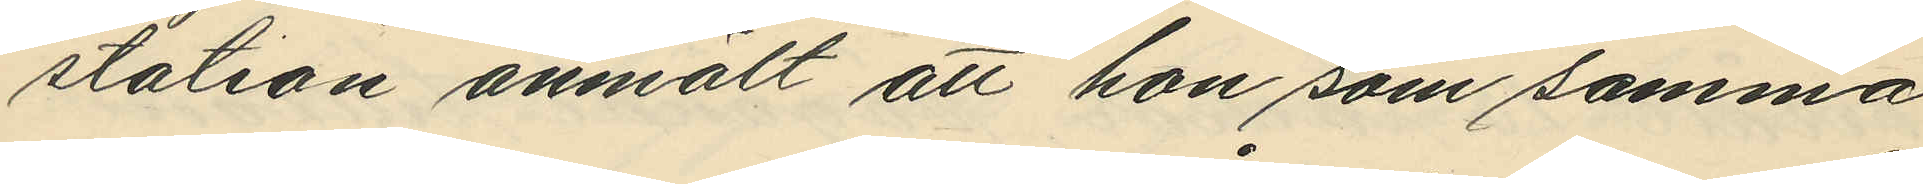station anmält att hon som samma
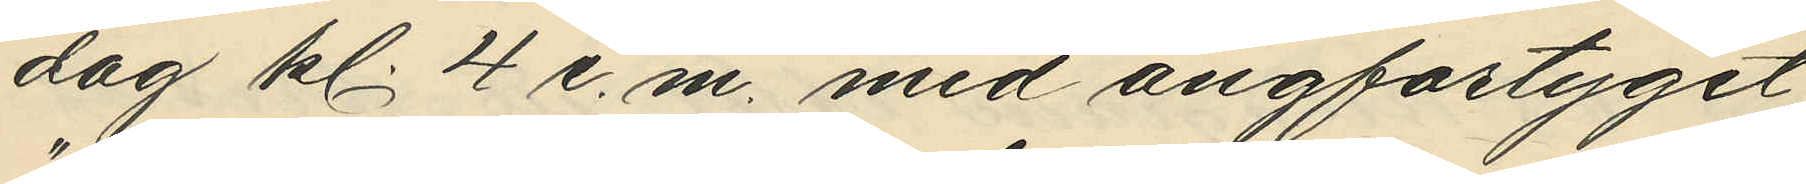dag kl. 4 e. m. med ångfartyget
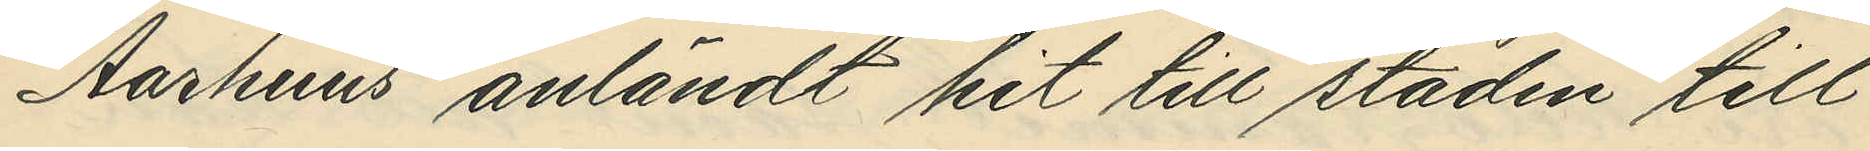"Aarhuus" anländt hit till staden till
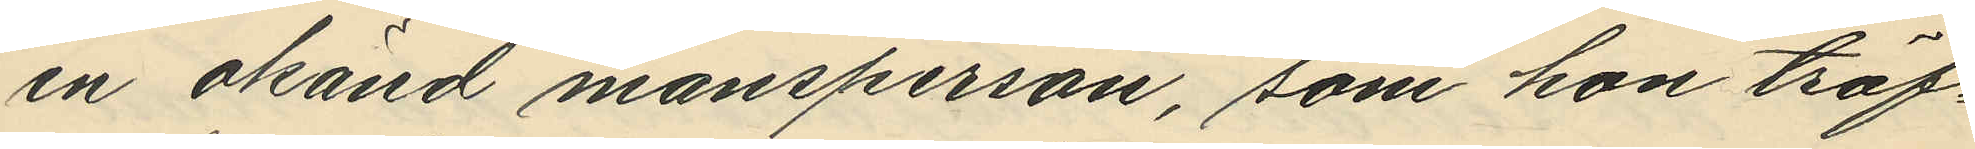en okänd mansperson, som hon träf¬
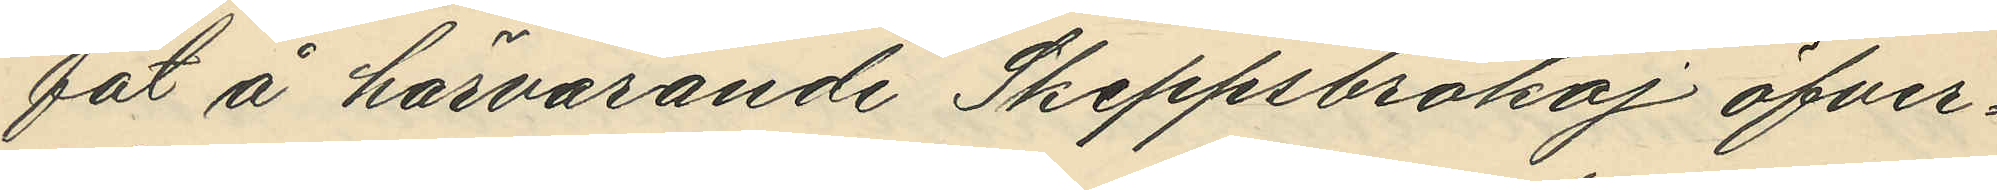fat å härvarande Skeppsbrokaj öfver¬
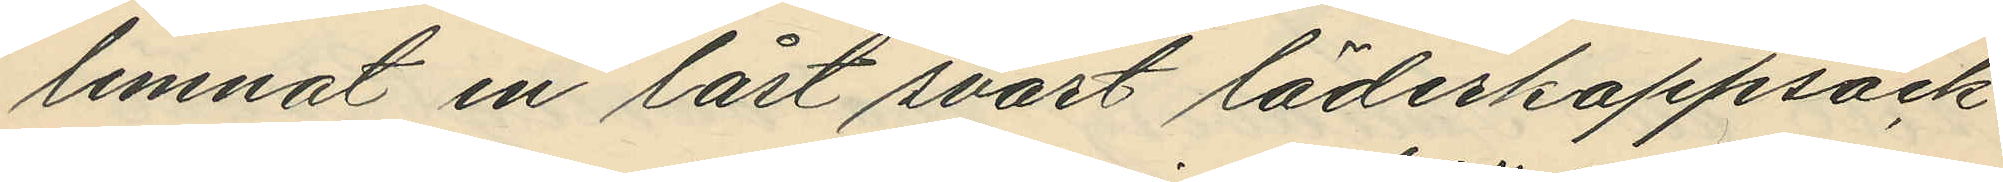lemnat en låst svart läderkappsäck
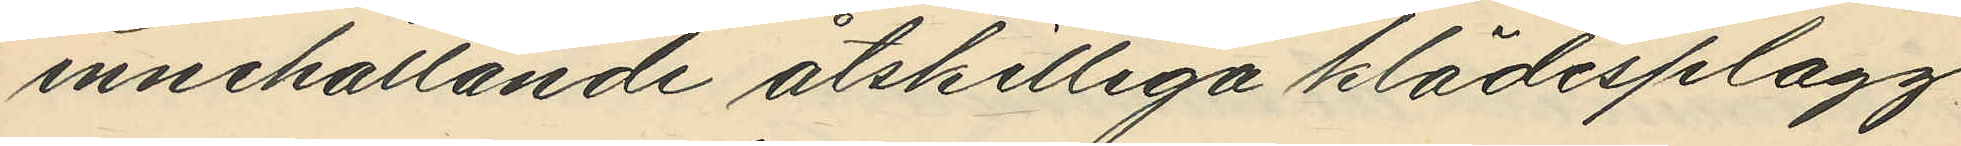innehållande åtskilliga klädesplagg
